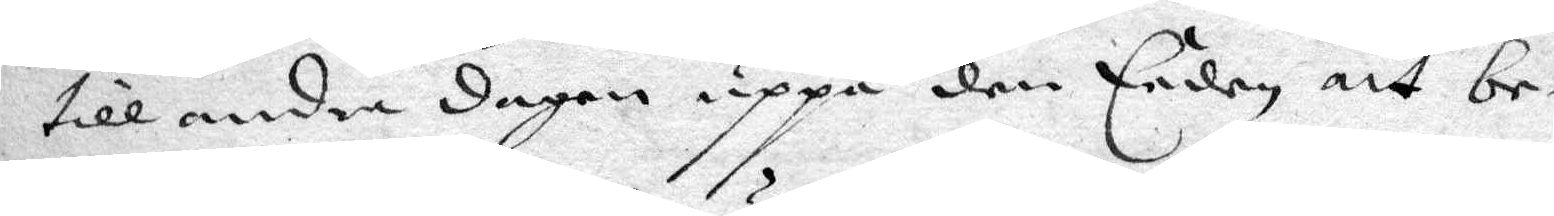till andra dagen uppå den Eeden att be¬
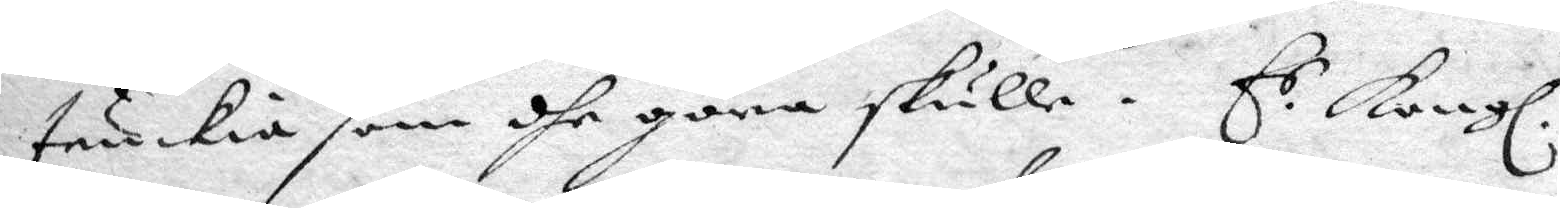tnkia som dhe göra skulle. E.r Kongl.
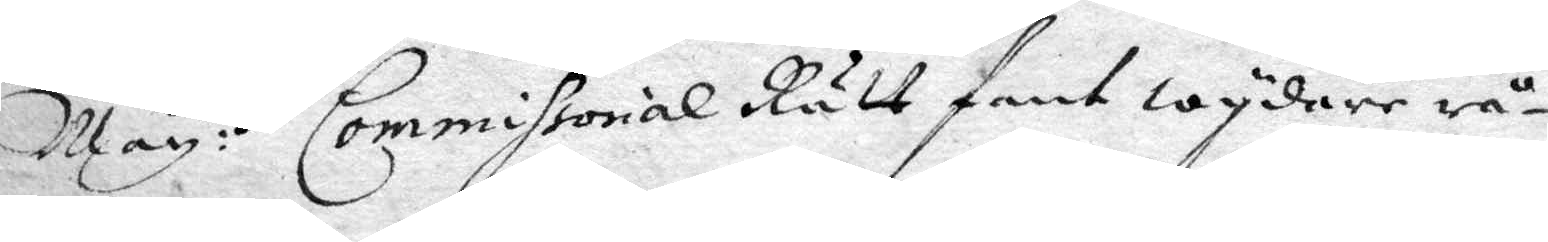May:tz Commissorial Rätt fant wydare rå¬
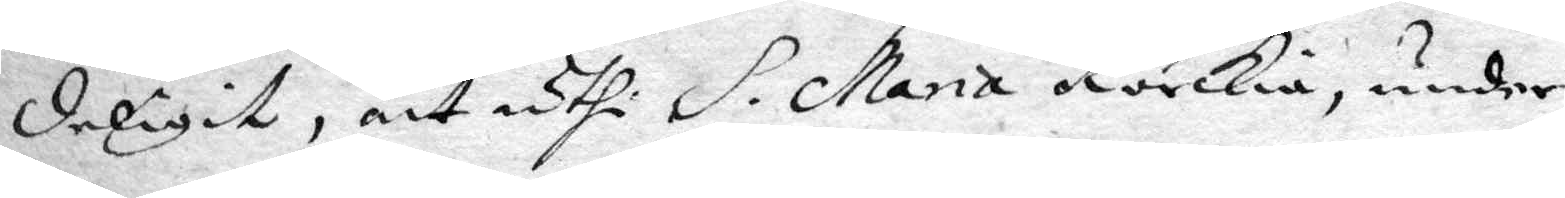derligit, att uthi S. Maria körckia, under
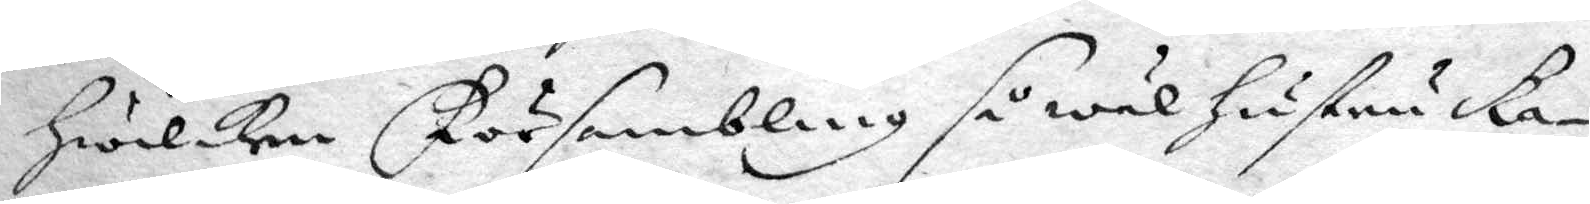hwilken Försambling så wäl hustru Ka¬
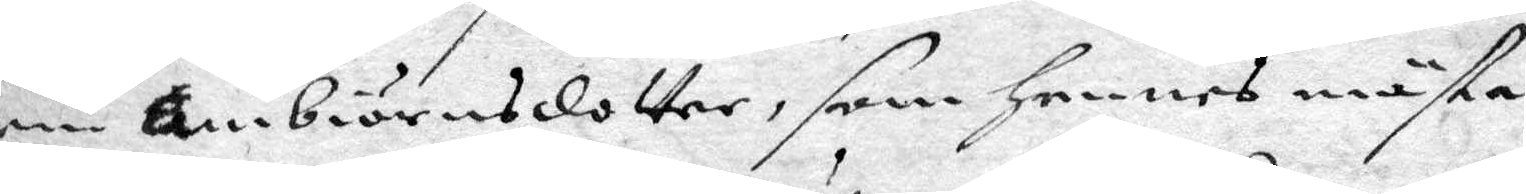rin Ambiörnsdotter, som hennes mästa
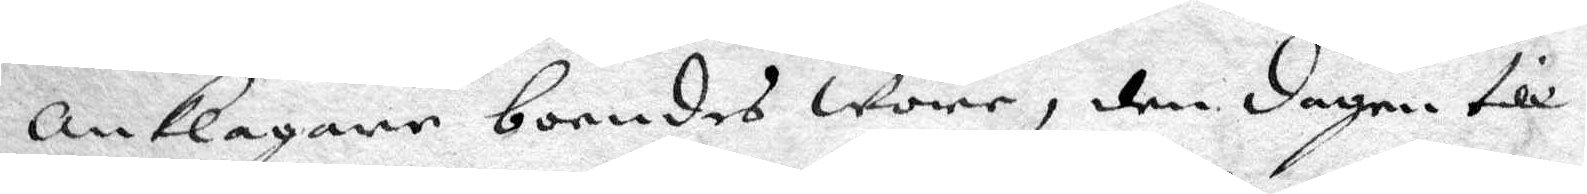anklagare boendes wore, den dagen till
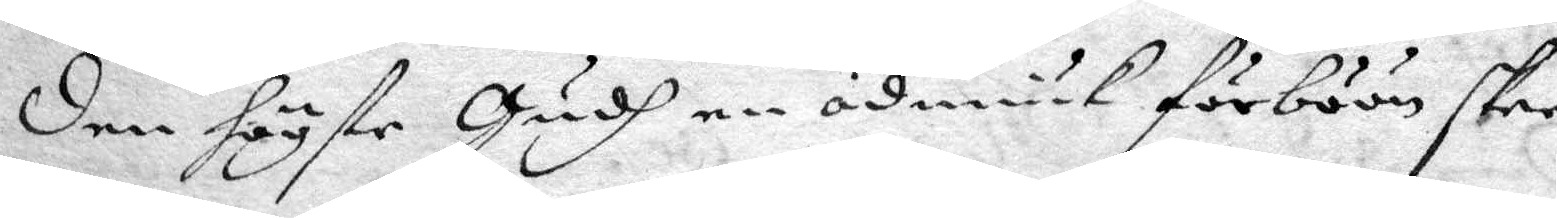den högste Gudh nu ödmiukt förböön skee
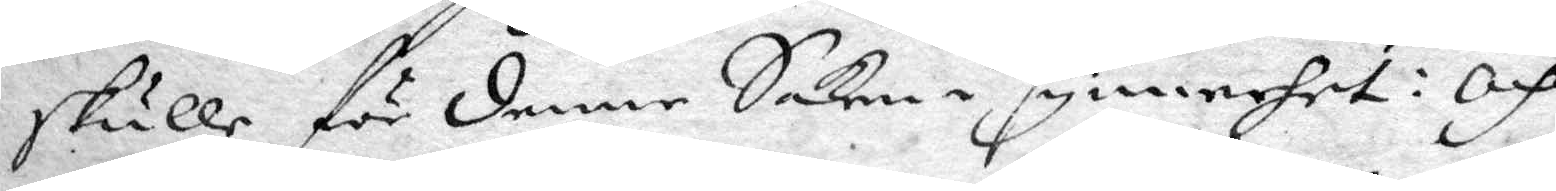skulle flr denne Saken i synnerhet: och
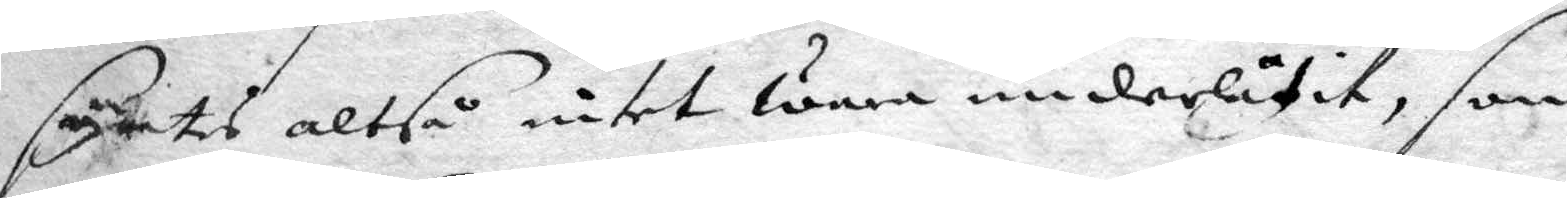syntes altså intet wara underlåtit, som
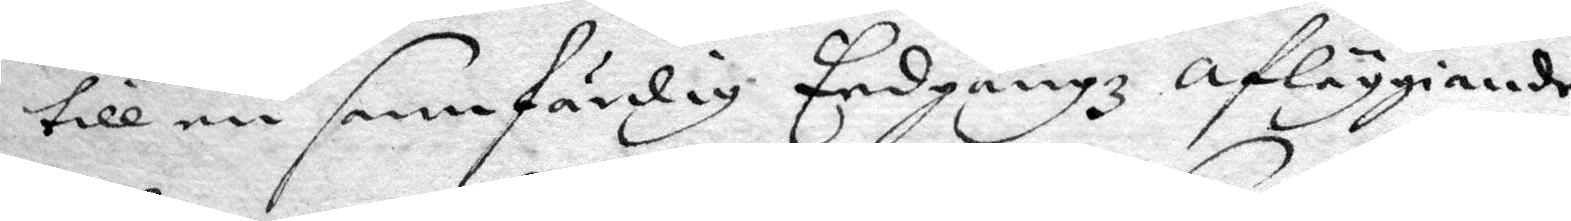till en sannfärdig Eedgångz afläggiande
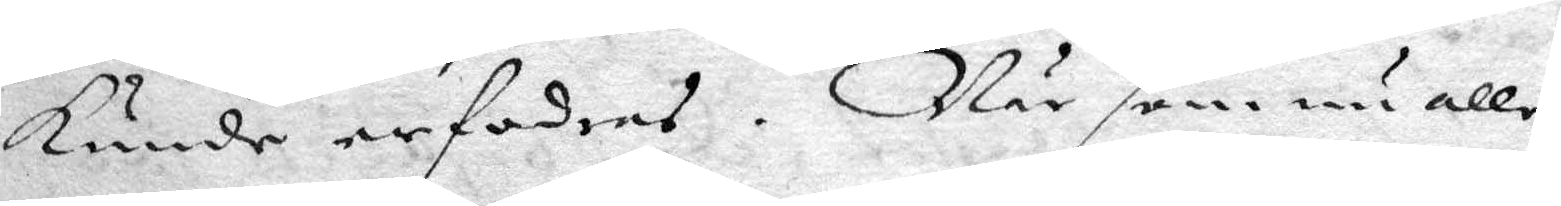kunde erfordras. När som nu alle
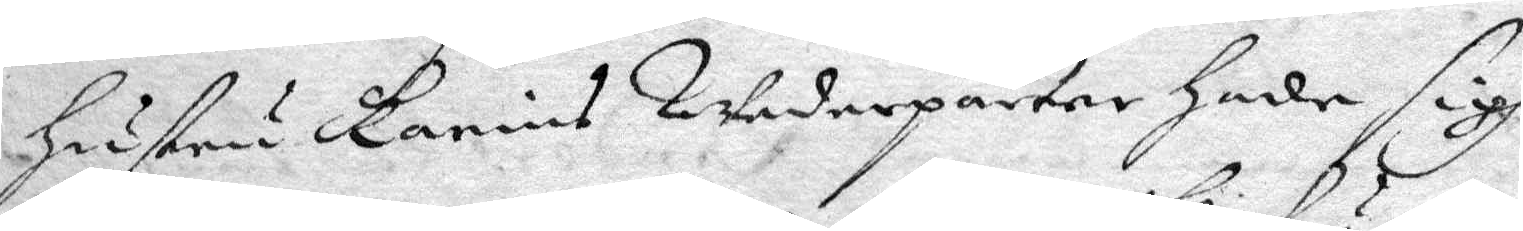hustru Karins Wederparter hade sigh
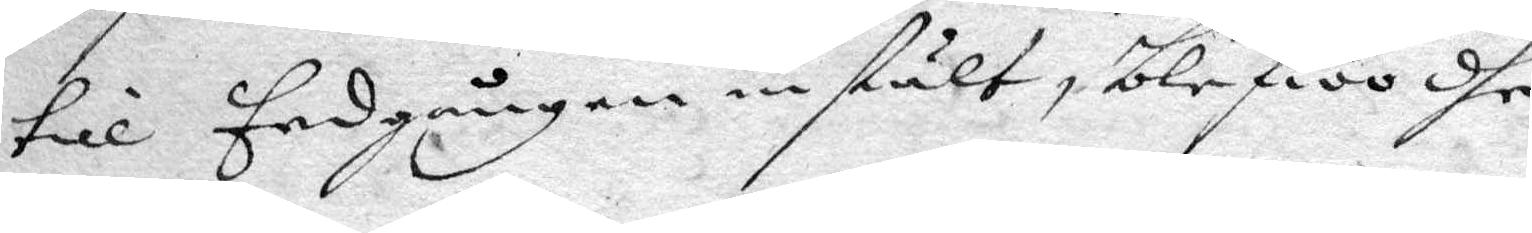til Eedgången instält, blefwo dhe
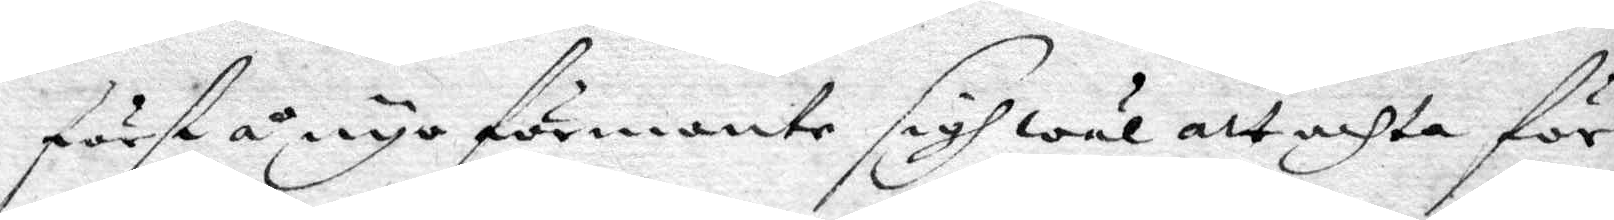förstå å nyo förmante sigh att achta för
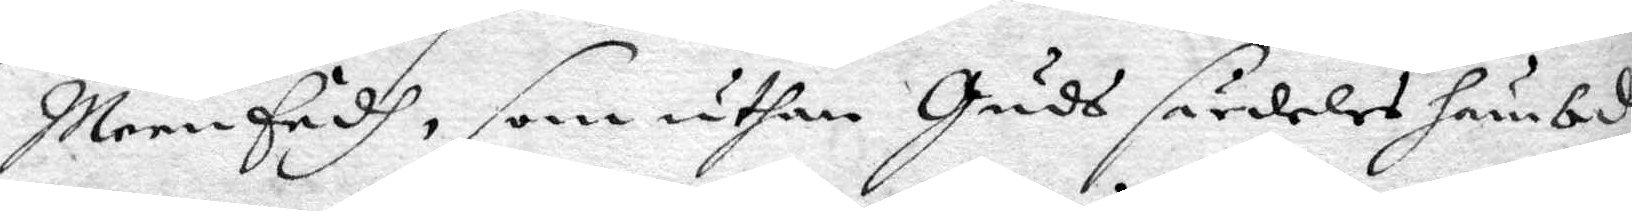MeenEedh, som uthan Guds särdeles hämbd
